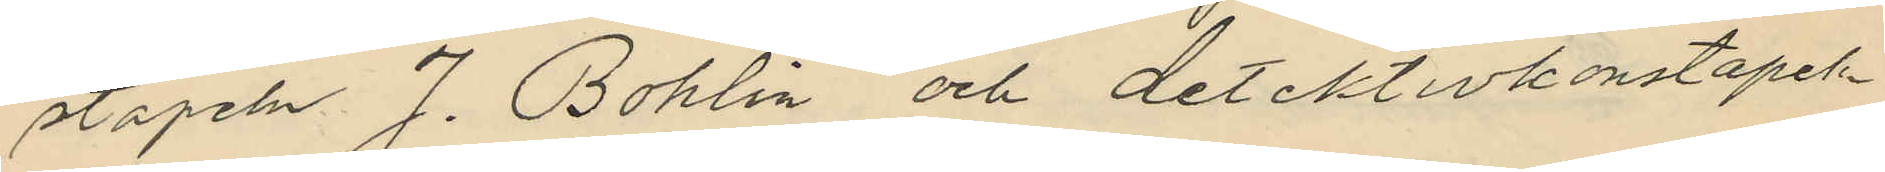stapeln J. Bohlin och detektivkonstapeln
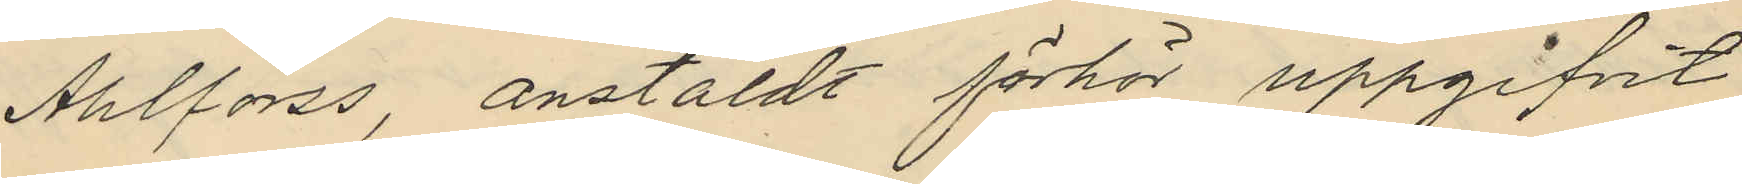Ahlforss, anstäldt förhör uppgifvit
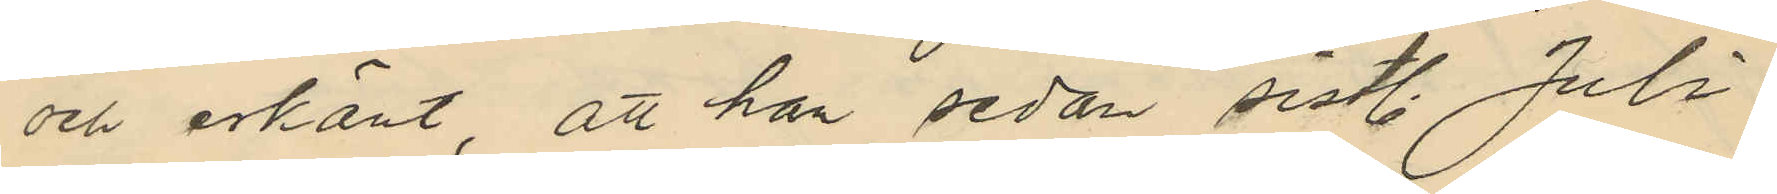och erkänt, att han sedan sistl. Juli
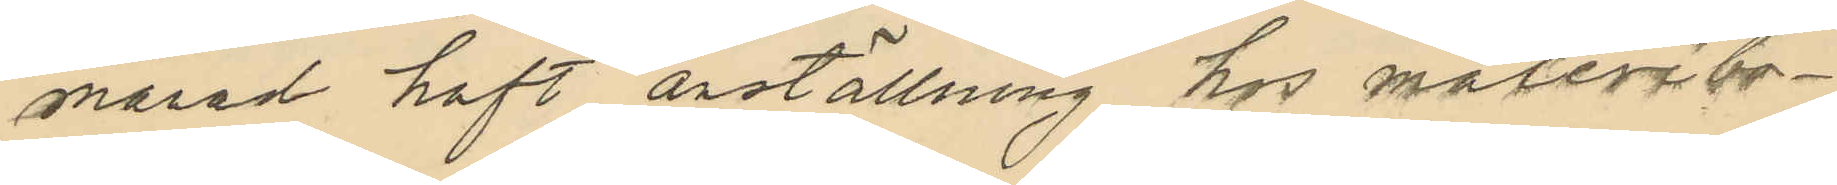månad haft anställning hos måleribo¬
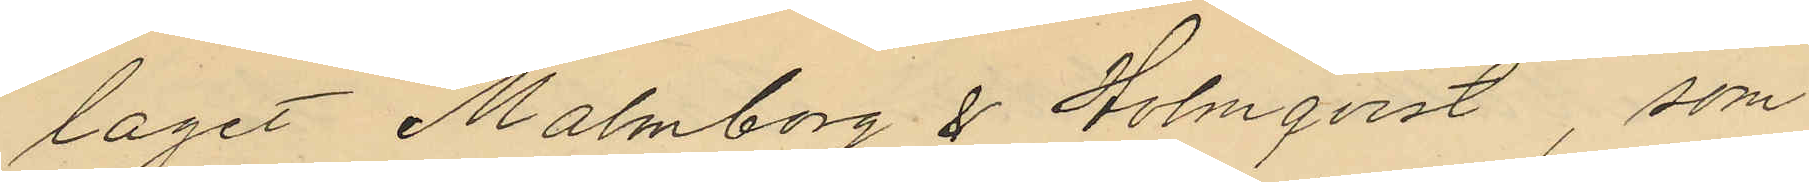laget Malmborg & Holmqvist som
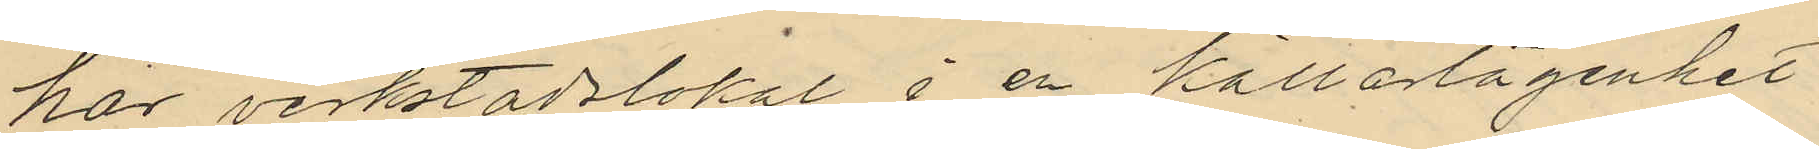har verkstadslokal i en källarlägenhet
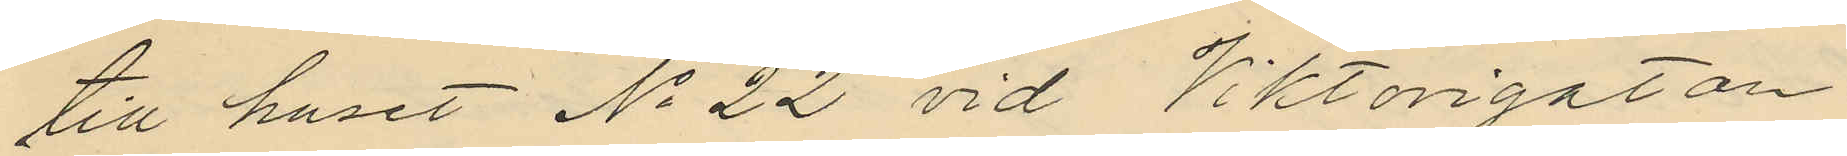till huset No 22 vid Viktorigatan
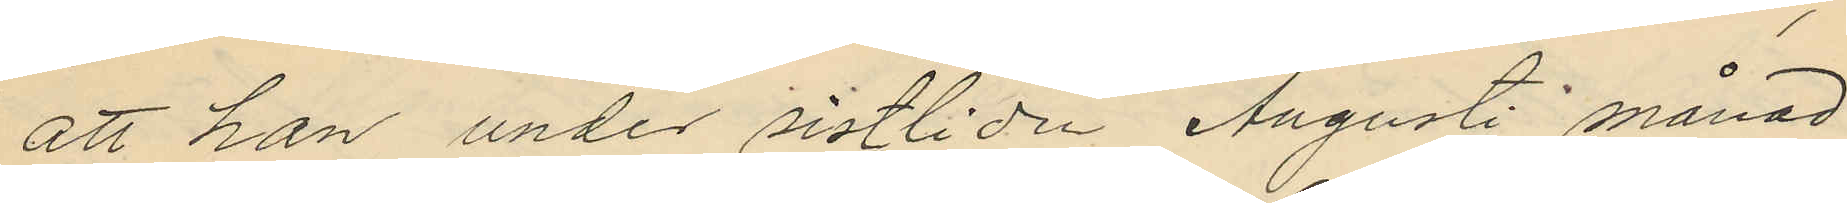att han under sistlidn Augusti månad
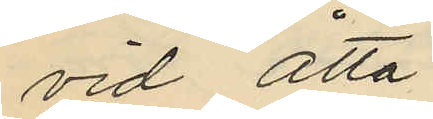vid åtta
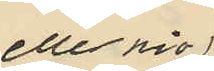eller nio
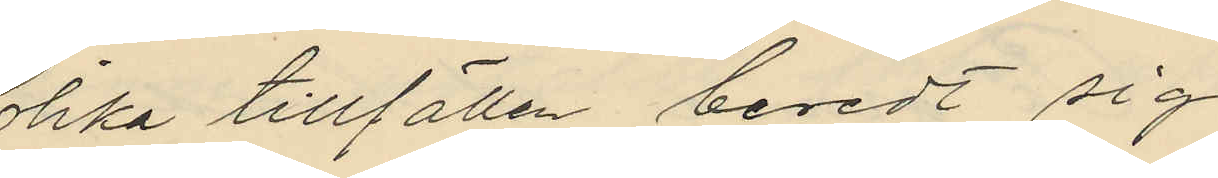olika tillfällen beredt sig
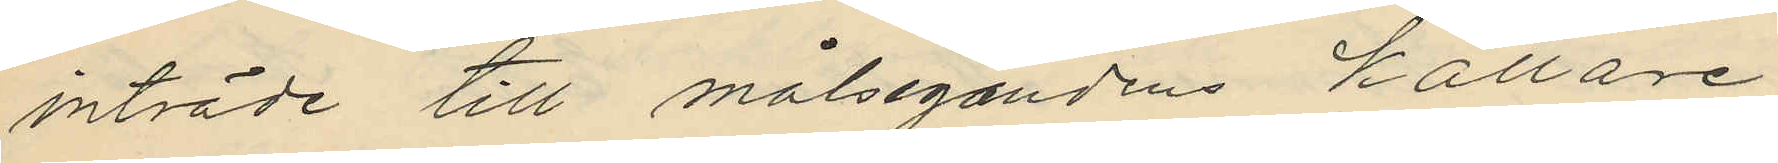inträde till målsegandens källare
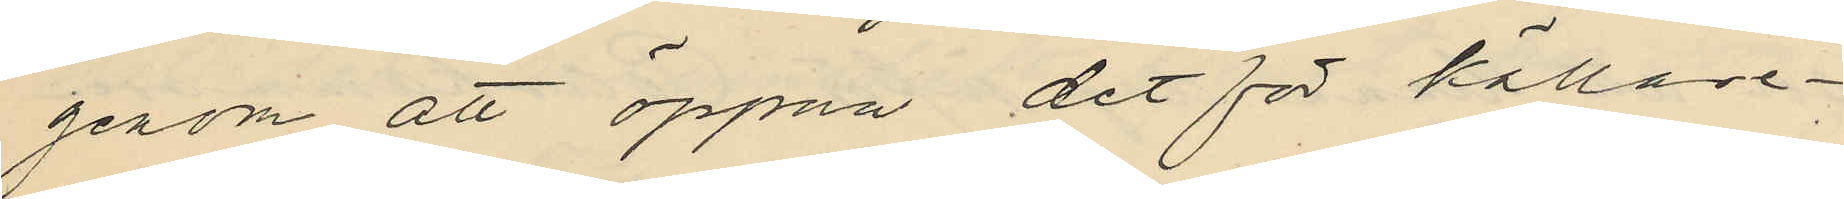genom att öppna det för källare¬
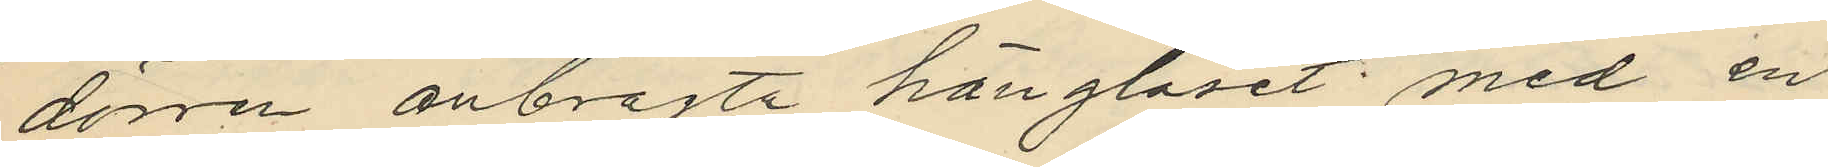dörren anbragta hänglåset med en
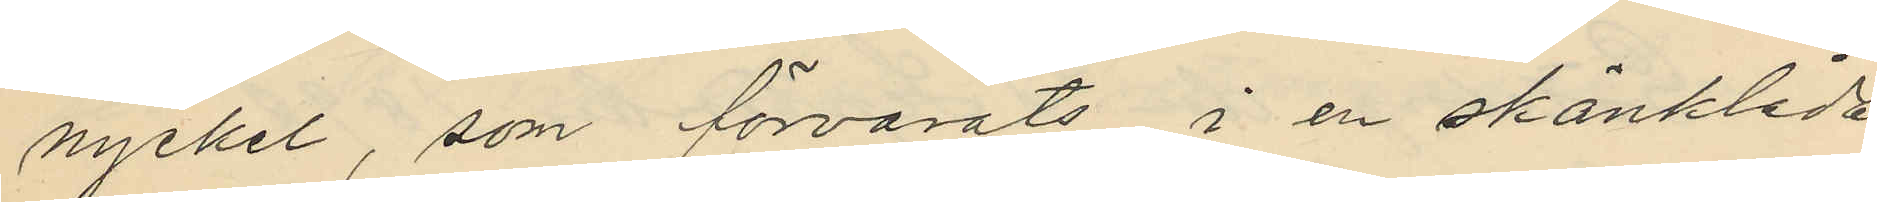nyckel, som förvarats i en skänklåda
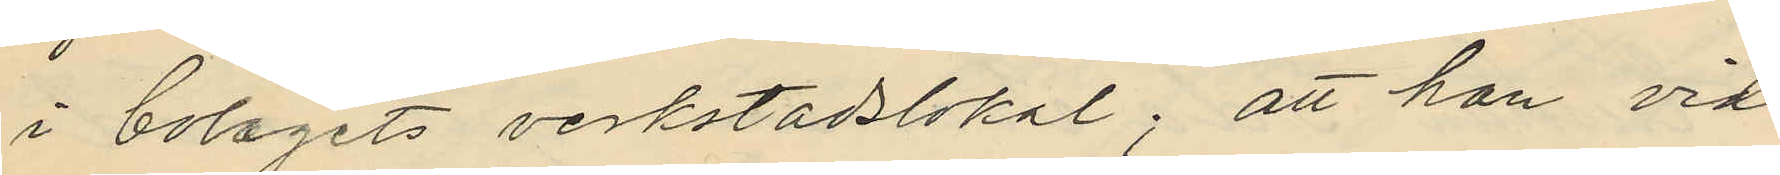i bolagets verkstadslokal; att han vid
